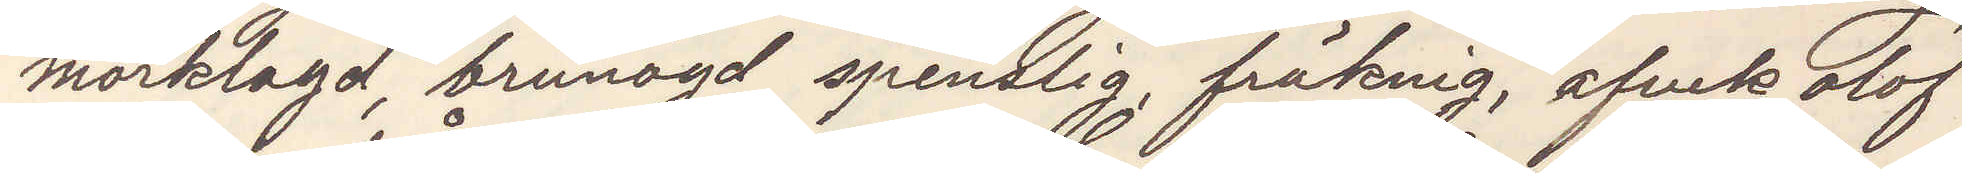mörklagd, brunögd, spenslig, fräknig, afvek olof¬
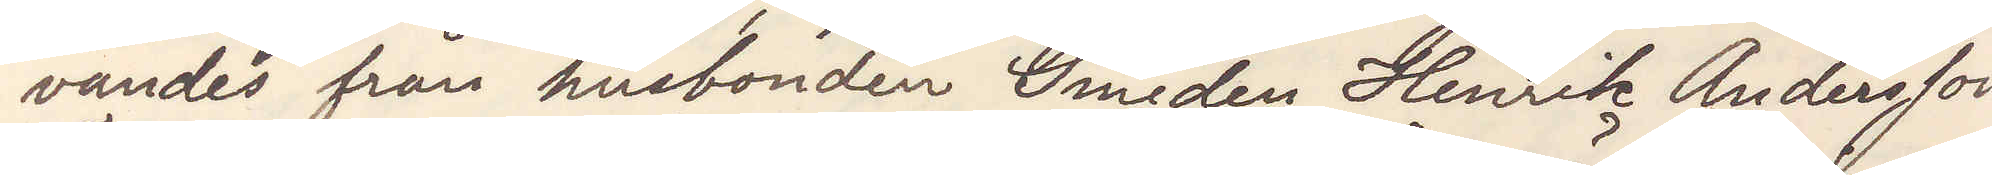vandes från husbonden Smeden Henrik Andersson,
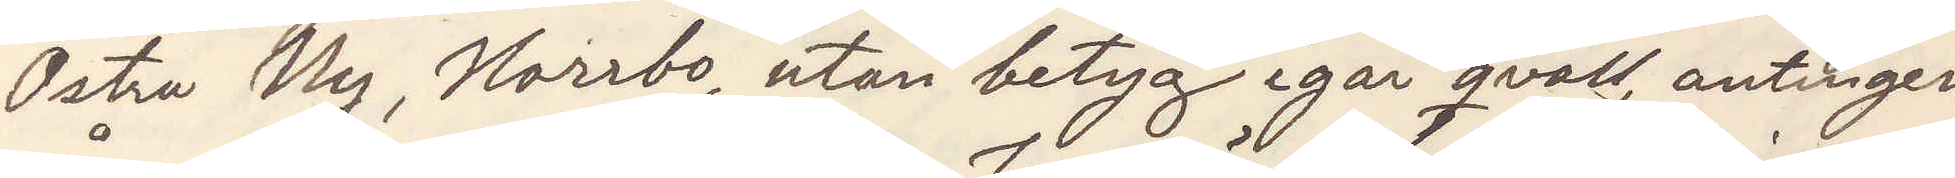Östra Ny, Norrbo, utan betyg igår qväll, antingen
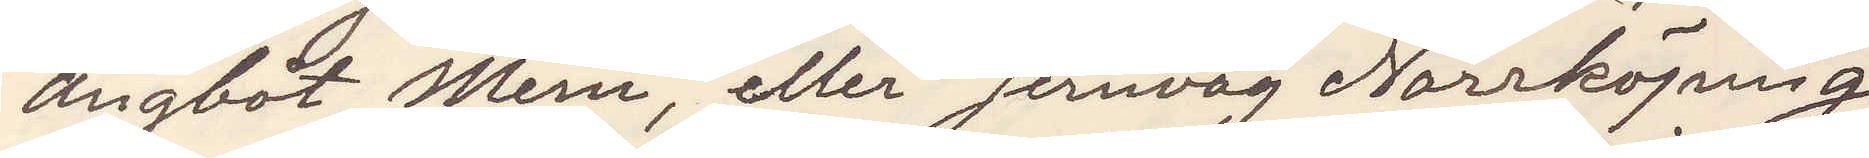ångbåt Mem, eller Jernväg Norrköping
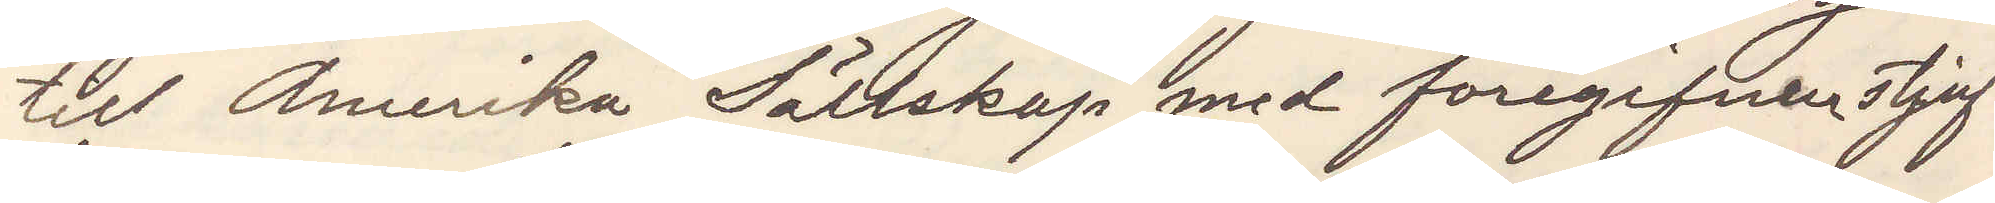till Amerika Sällskap med föregifven stjuf¬
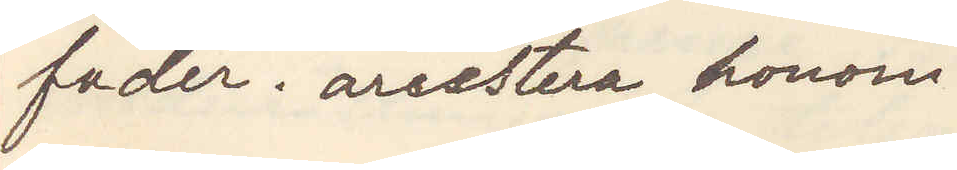fader. arrestera honom.
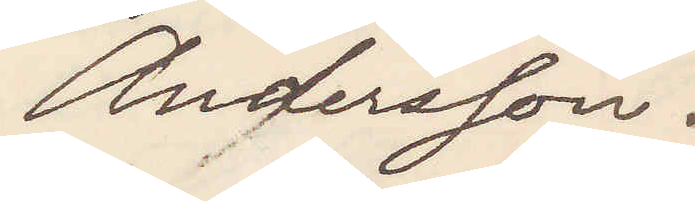Andersson.
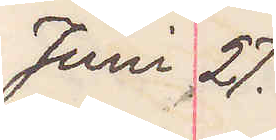Juni 27.
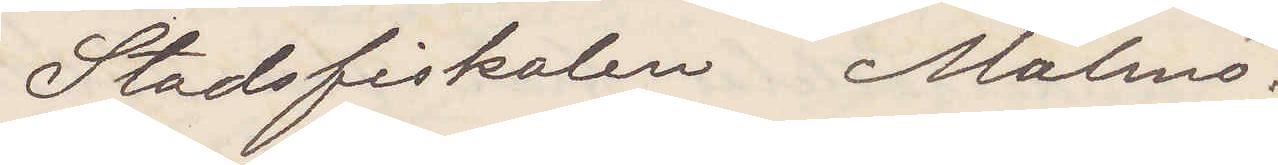Stadsfiskalen Malmö.
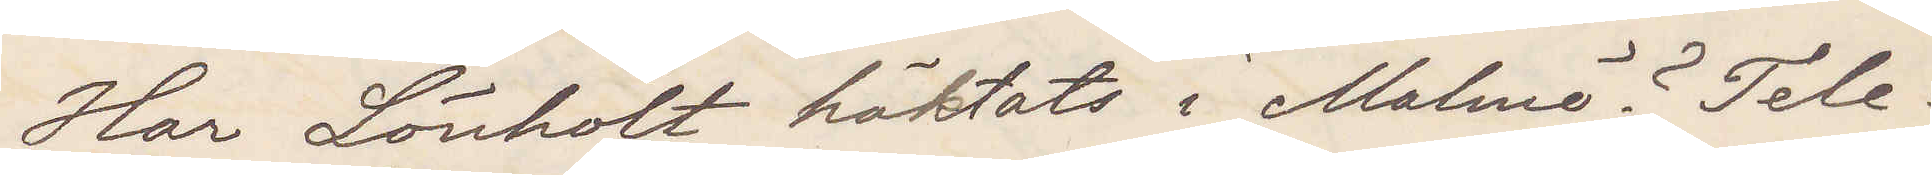Har Lönholt häktats i Malmö? Tele¬
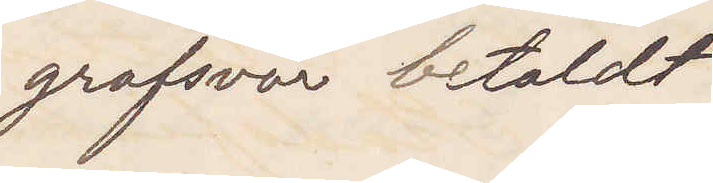grafsvar betaldt.
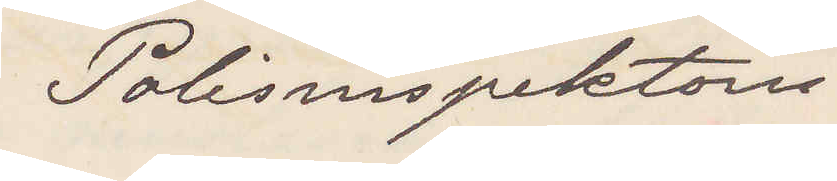Polisinspektorn.
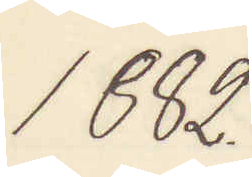1882.
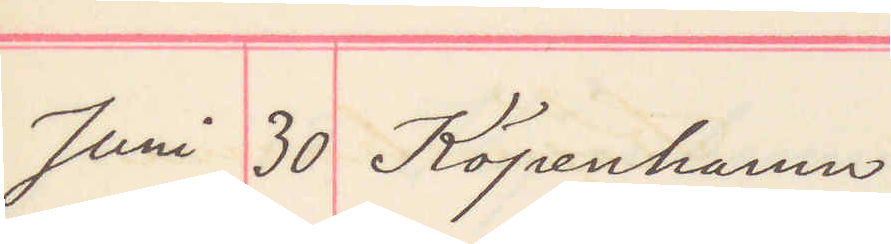Juni 30 Köpenhamn.
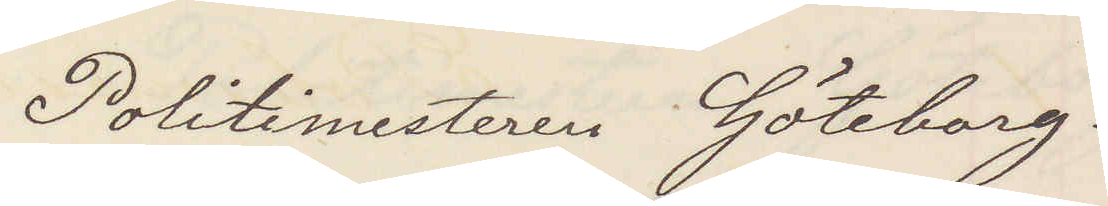Politimesteren Göteborg.
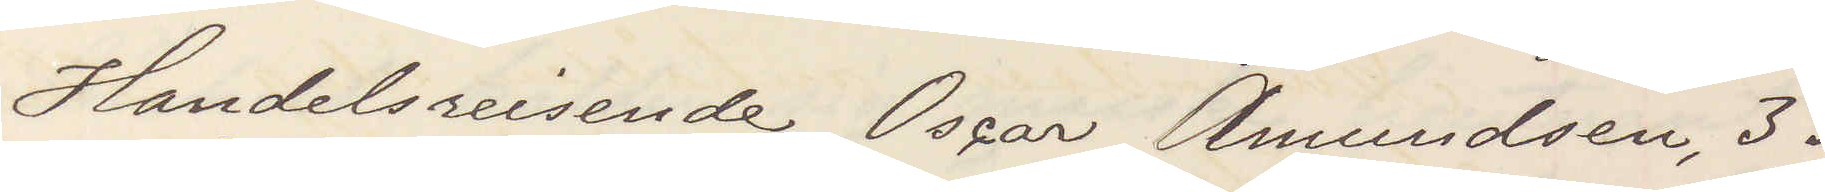Handelsreisende Oscar Amundsen, 33
